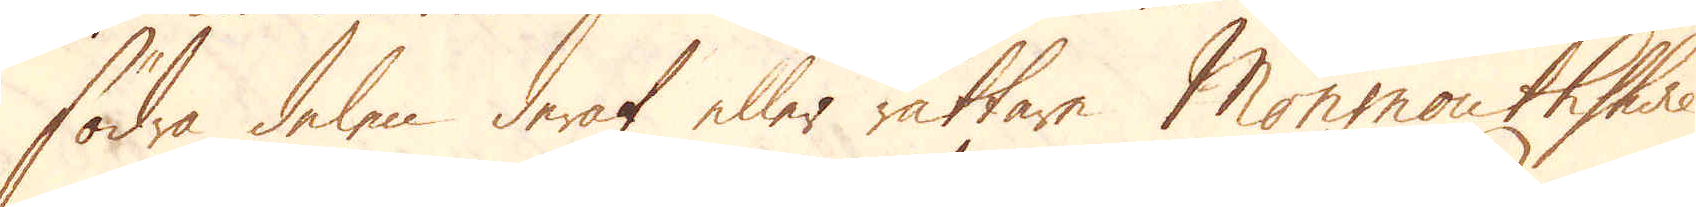södra delen deraf eller rättare Monmouthshire
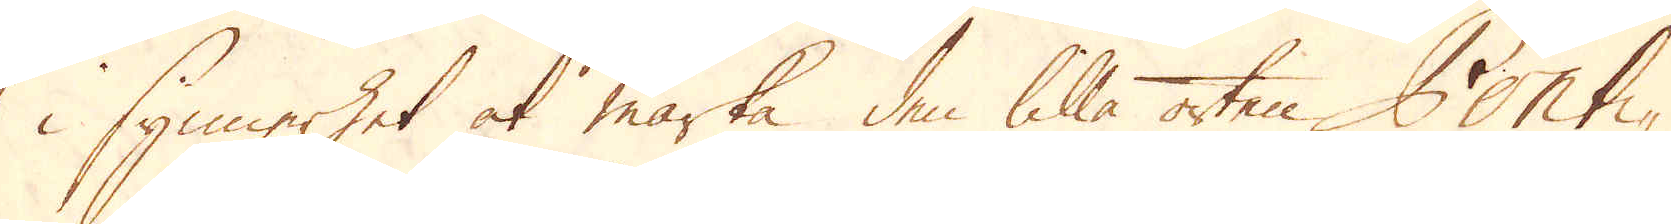i synnerhet at märka den lilla orten Ponti-
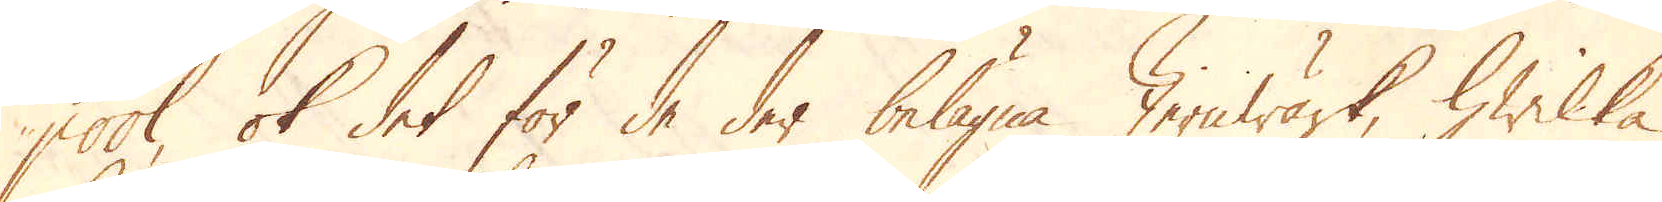pool, ok det för de der belägna Jernwärk, hwilka
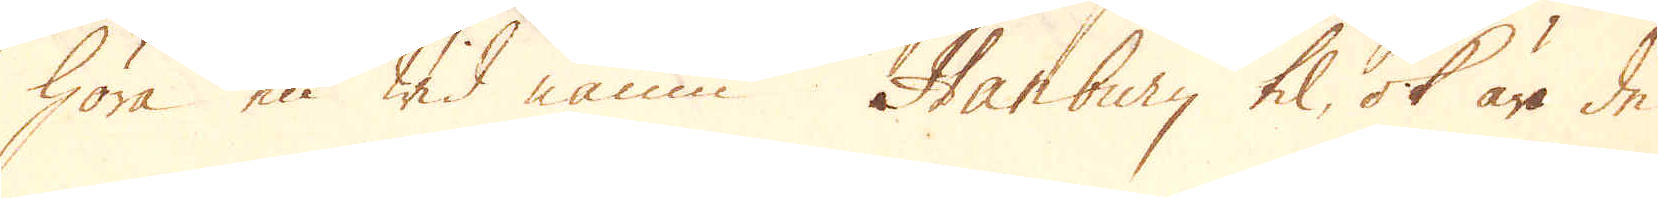höra en wid namn Hanbury til, ok äro de
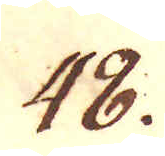48.
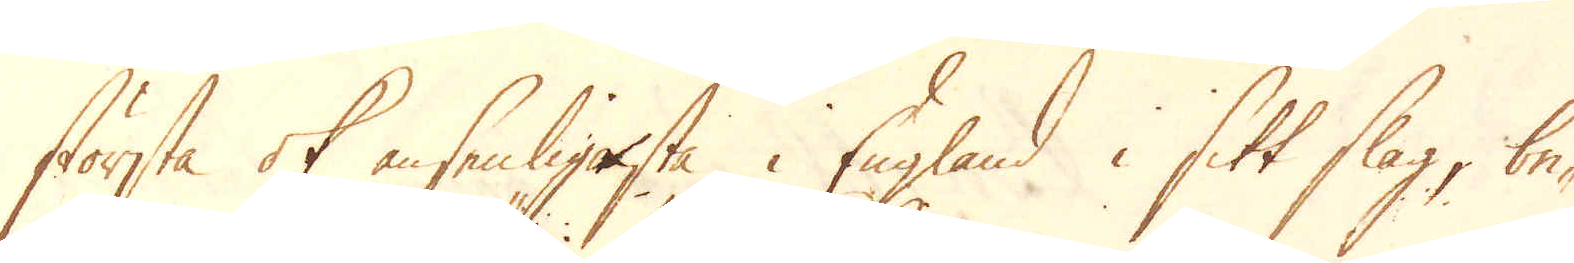största ok ansenligaste i England i sitt slag, be-
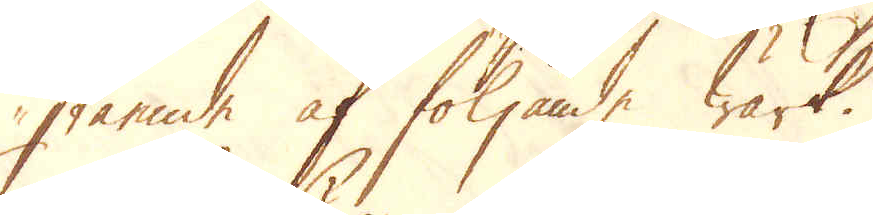stående af följande Wärk.
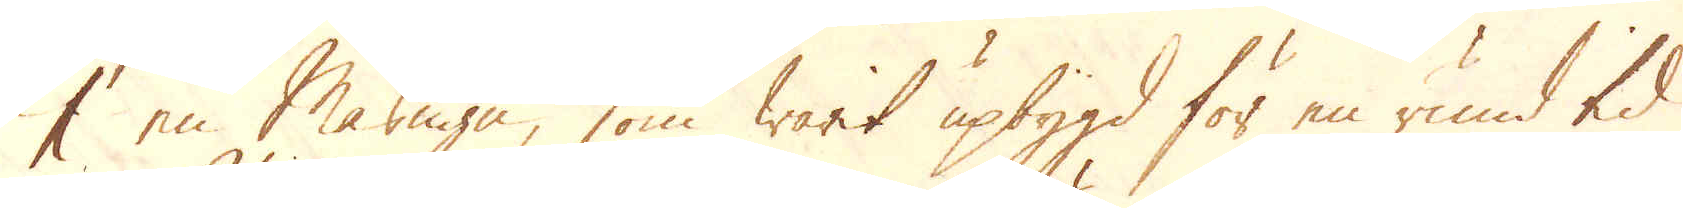1 en Masugn, som warit upbygd för en rund tid
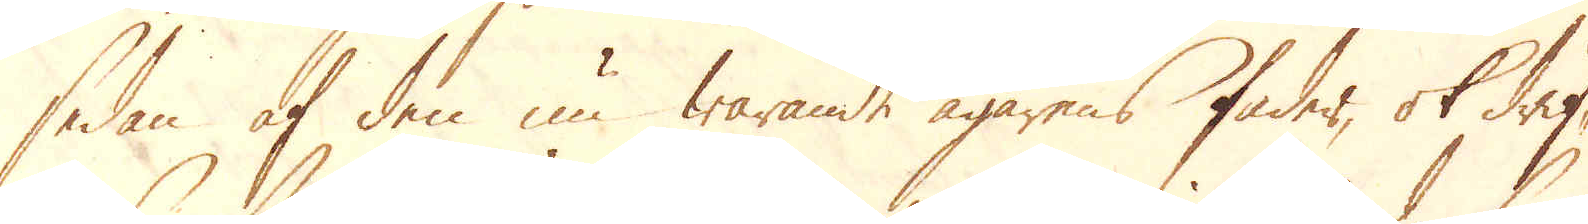sedan af den nu warande ägarens fader, ok drif-
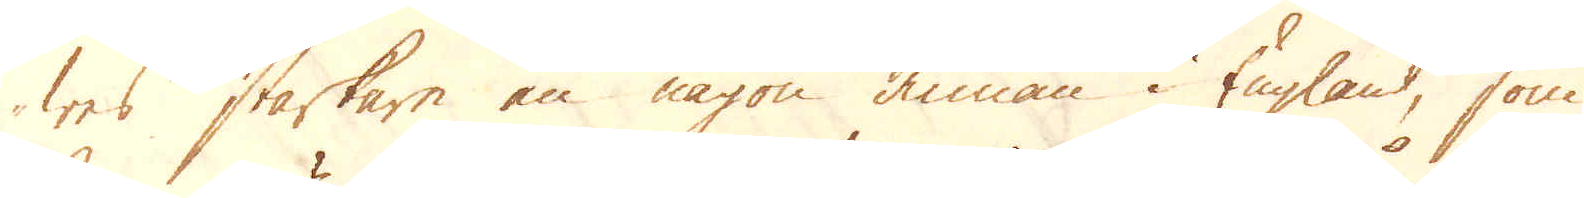wes starkare än någon annan i England, som
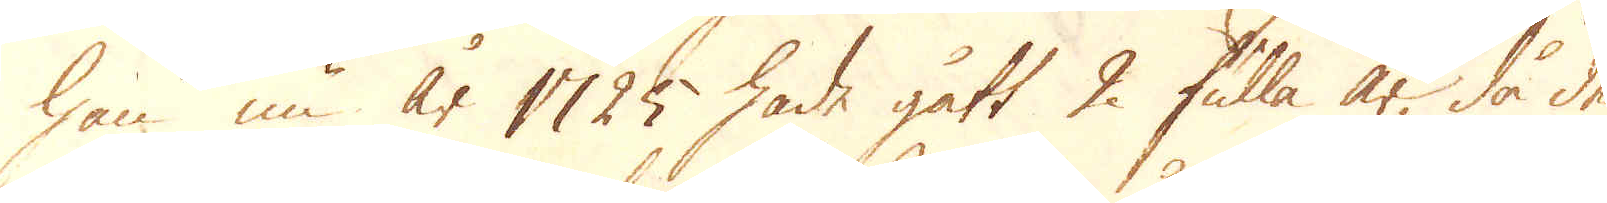han nu år 1725 hade gått 2 fulla år, då de
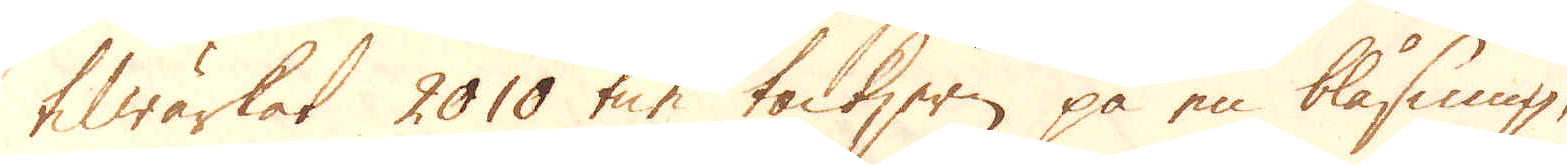tilwärkat 2010 ton tackjern på en blåsning,
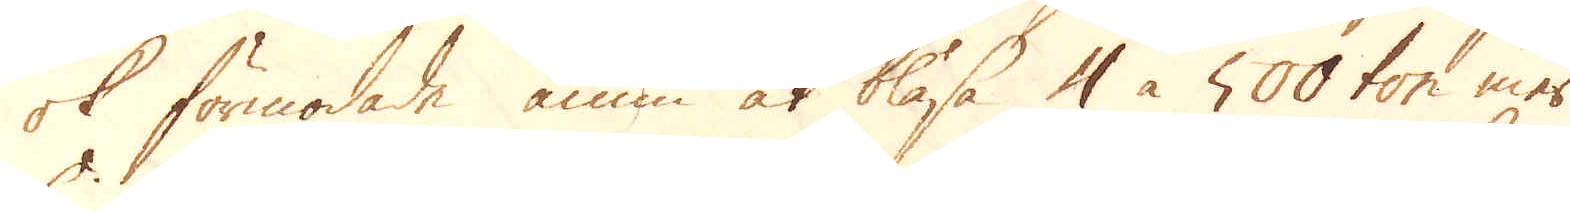ok förmodade ännu at blåsa 4 à 500 ton mer.
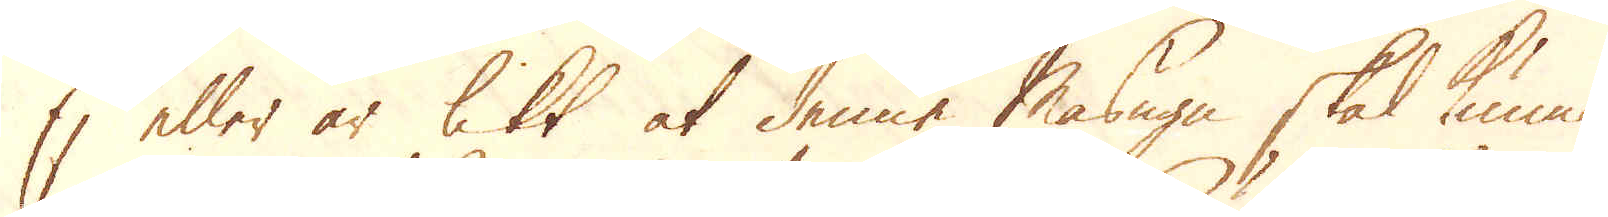Ej eller är lett at denne Masugn skal kunna
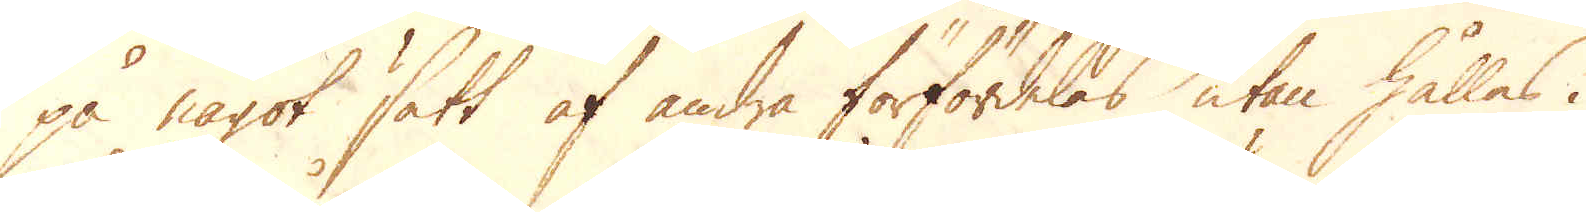på något sätt af andra förfördelas utan hålles i
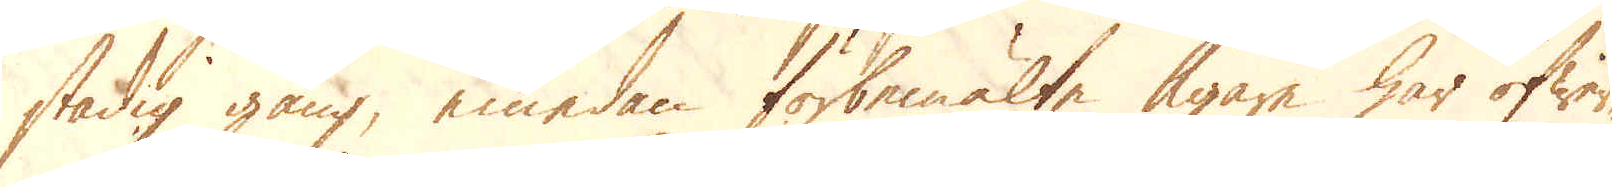stadig gång, emedan förbemälte Ägare har öfwer-
